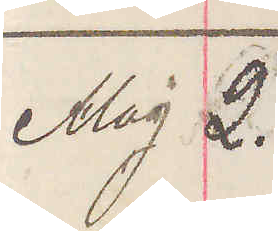Maj 2.
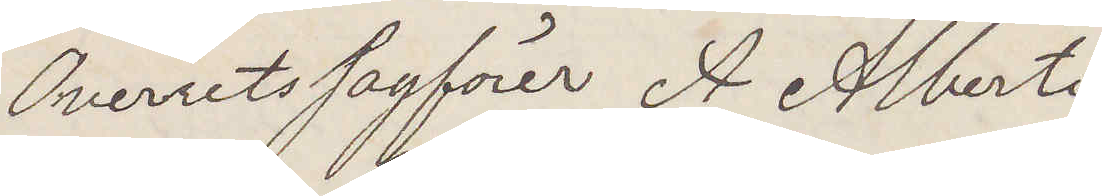Overretssagförer A Alberti
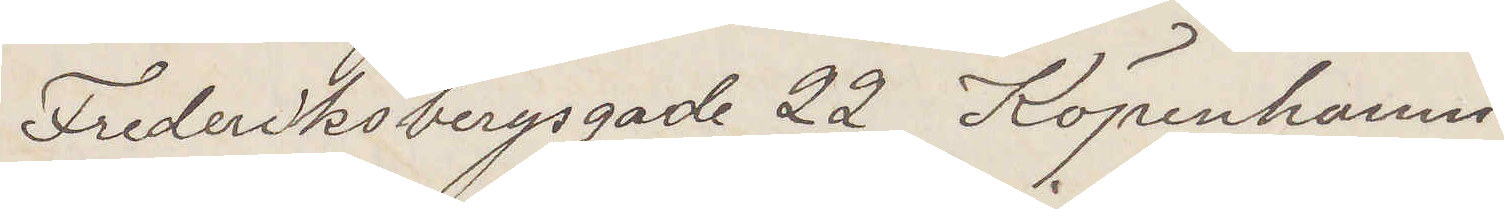Fredriksbergsgade 22 Köpenhamn
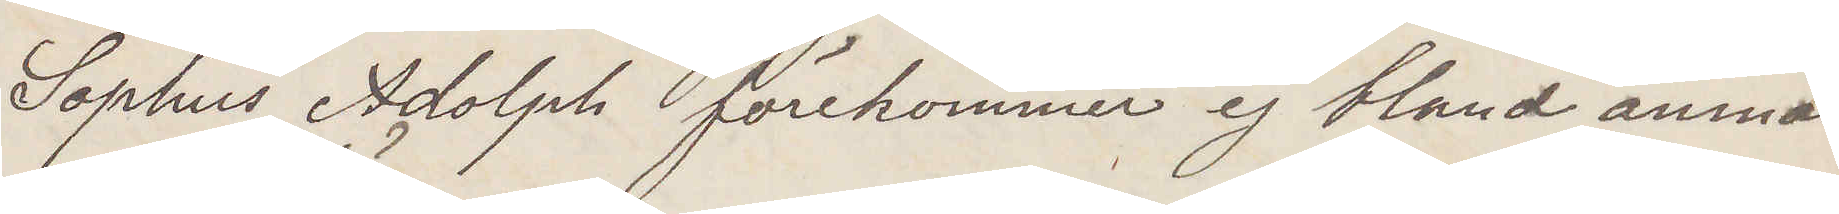Sophus Adolph förekommer ej bland anmäl¬
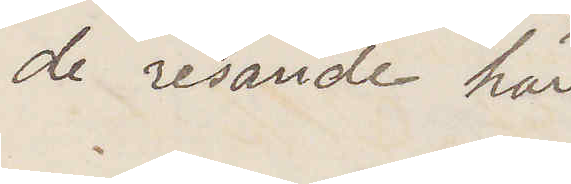de resande här
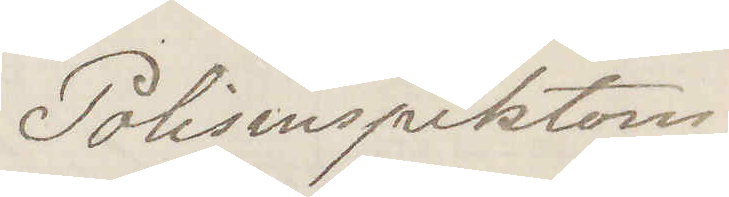Polisinspektorn
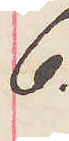6.
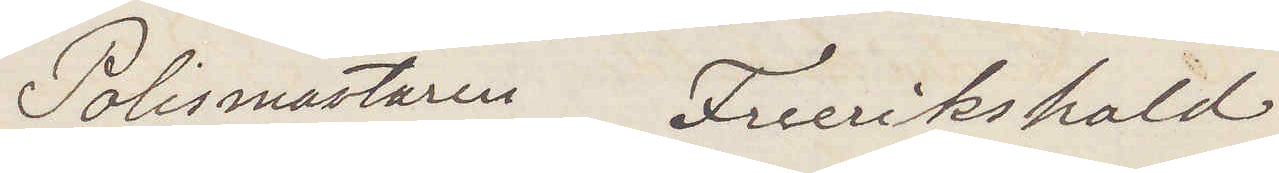Polismästaren Freerikshald
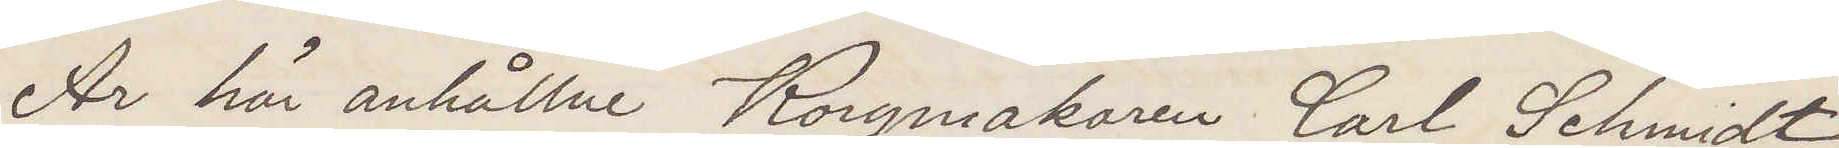Är här anhållne Korgmakaren Carl Schmidt
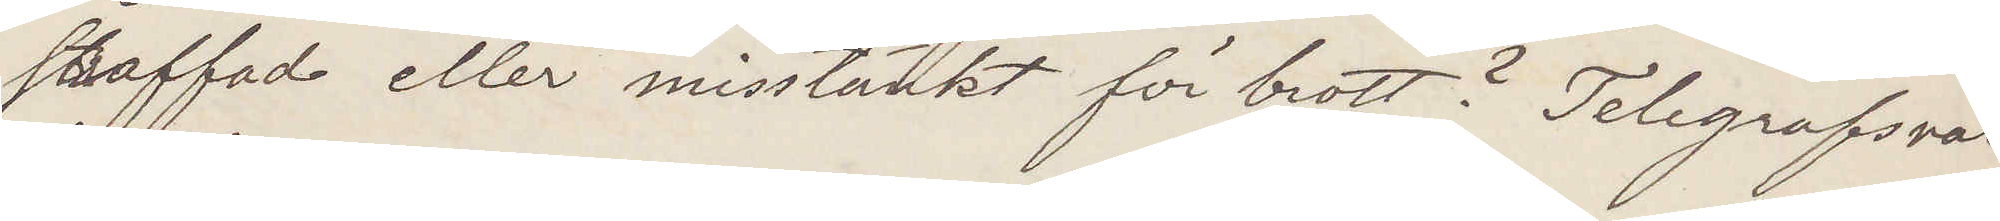straffad eller misstänkt för brott? Telegrafsvar
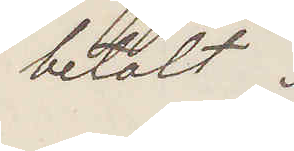betalt.
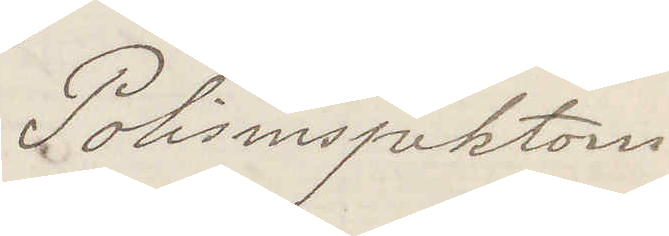Polisinspektorn
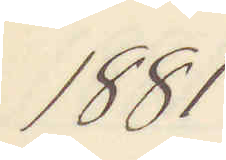1881
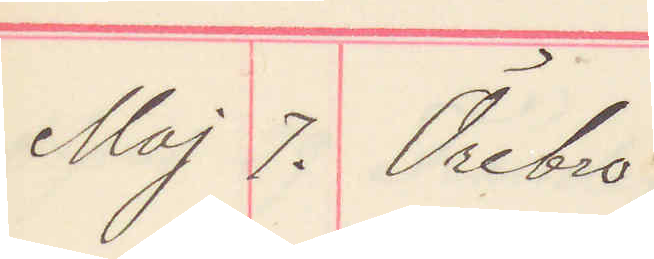Maj 7. Örebro
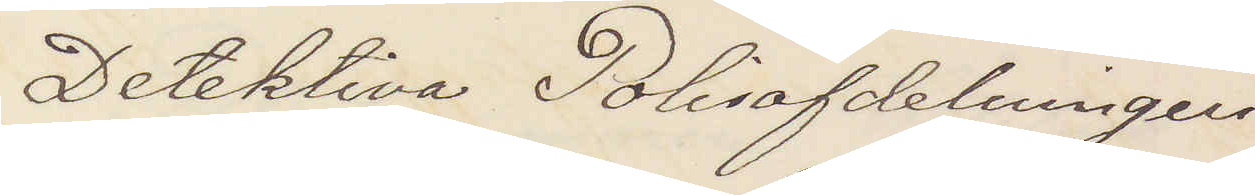Detektiva Polisafdelningen
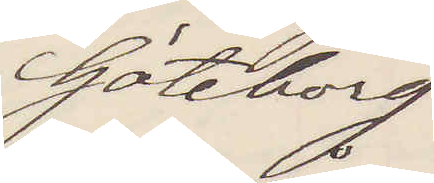Göteborg
